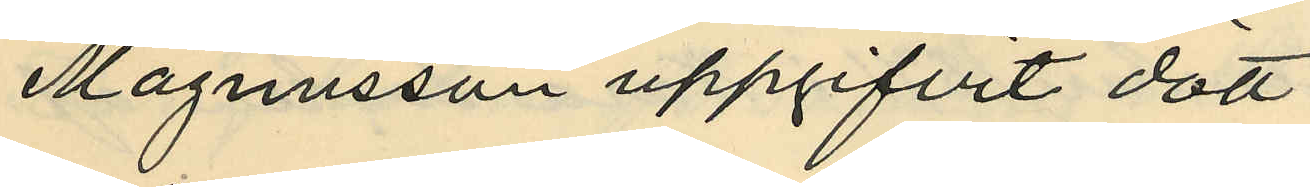Magnusson uppgifvit dött
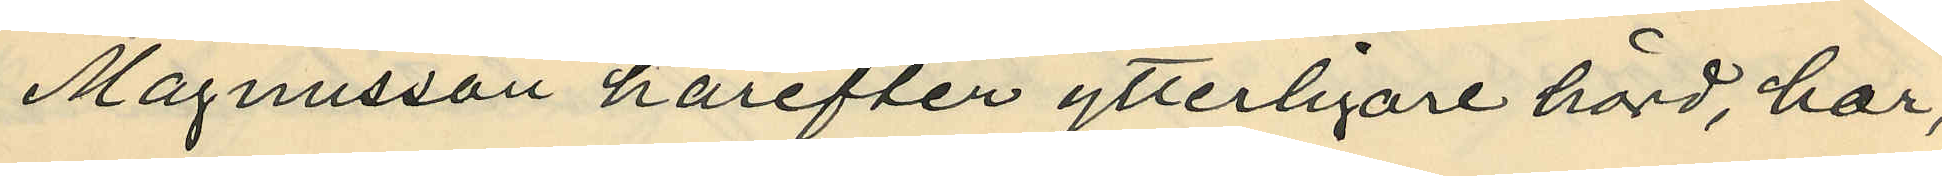Magnusson härefter ytterligare hörd, har
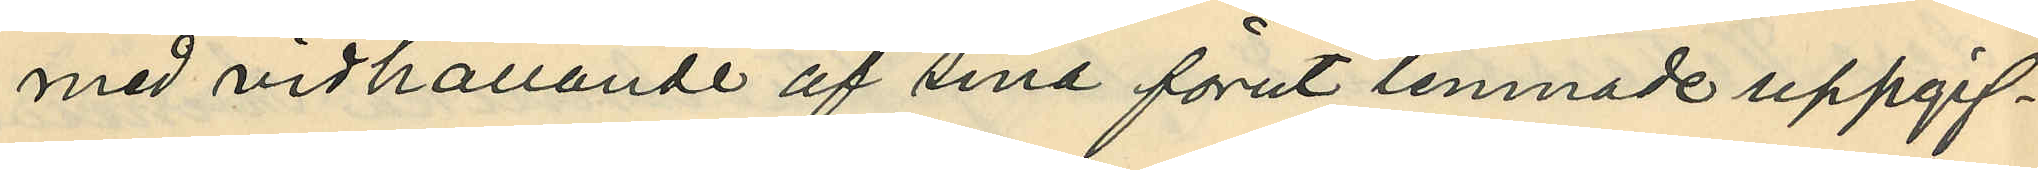med vidhållande af sina förut lemnade uppgif¬
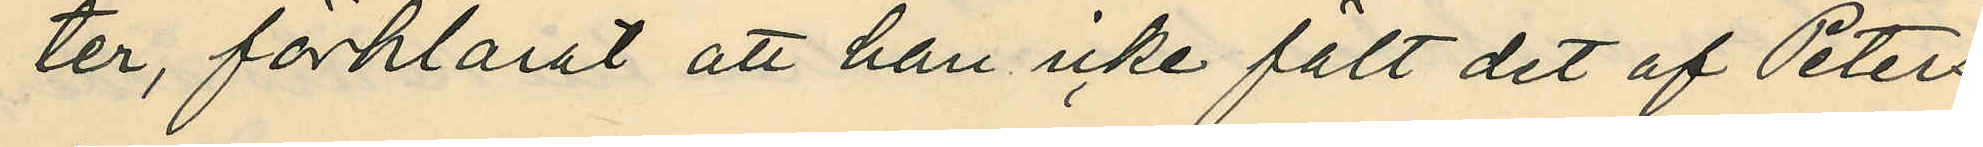ter, förklarat att han icke fält det af Petters¬
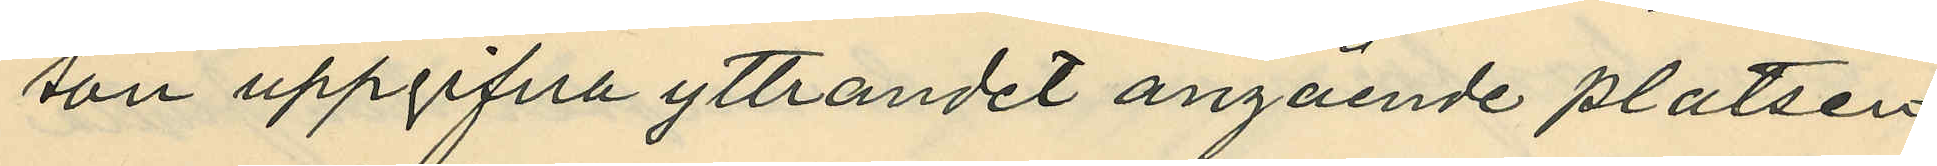son uppgifna yttrandet angående platsen
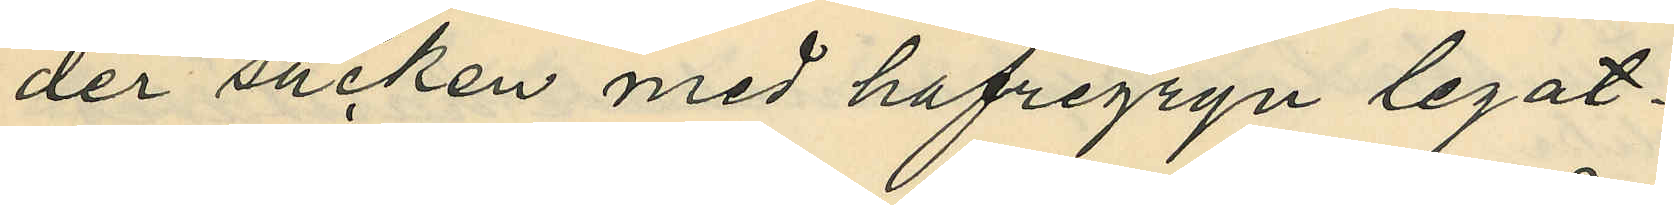der säcken med hafregryn legat.
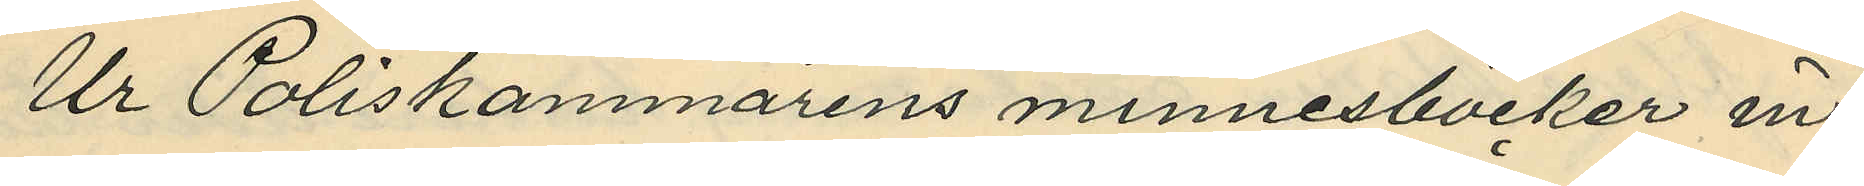Ur Poliskammarens minnesböcker in¬
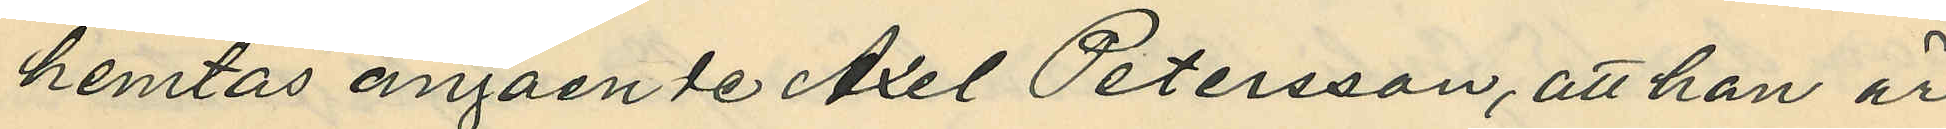hemtas angående Axel Pettersson, att han är
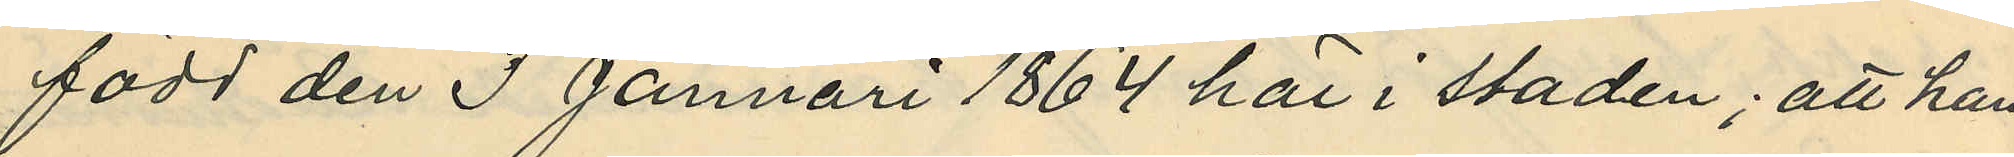född den 3 Januari 1864 här i staden; att han
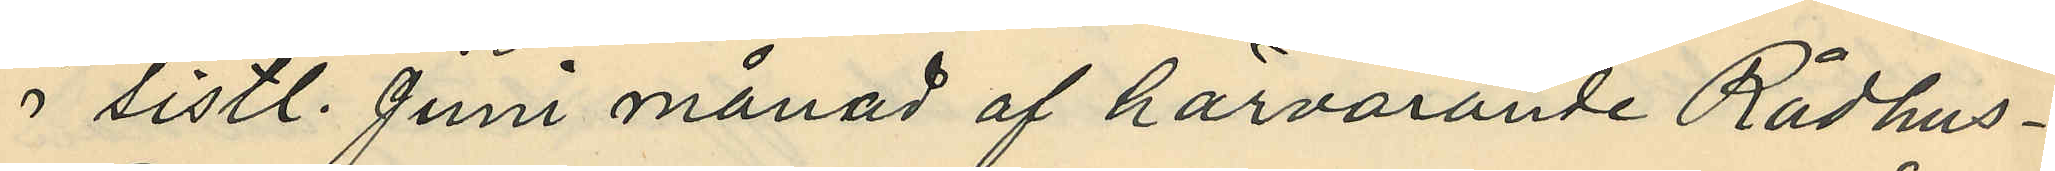i sistl. Juni månad af härvarande Rådhus¬
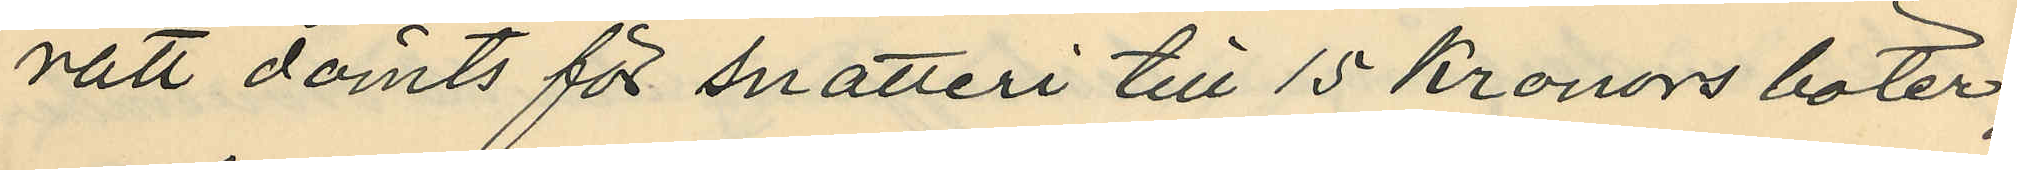ratt dömts för snatteri till 15 Kronors böter,
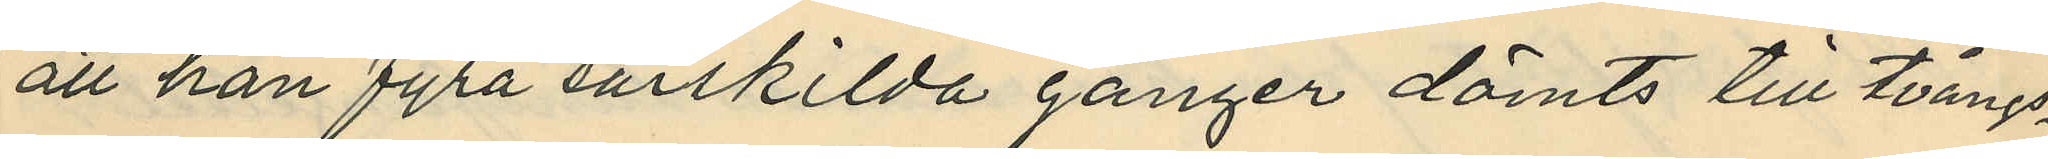att han fyra särskilda gånger dömts till tvångs¬
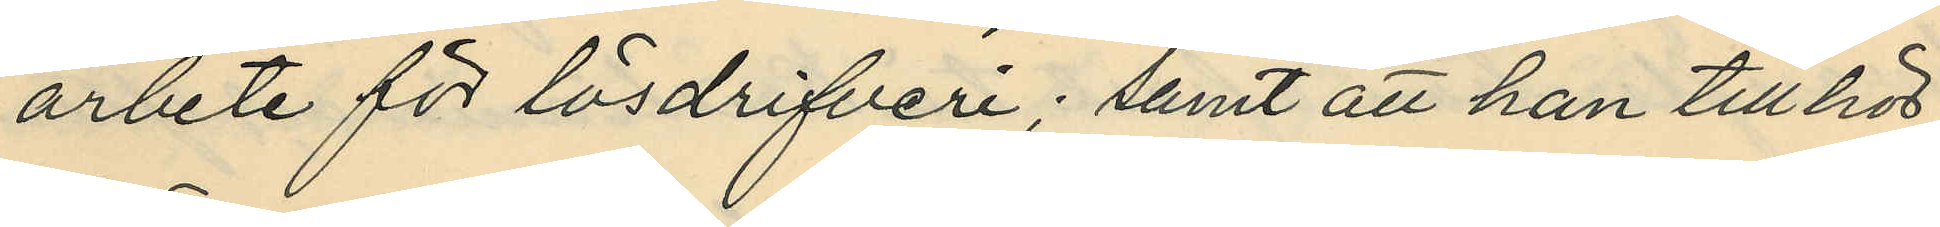arbete för lösdrifveri; samt att han till hör
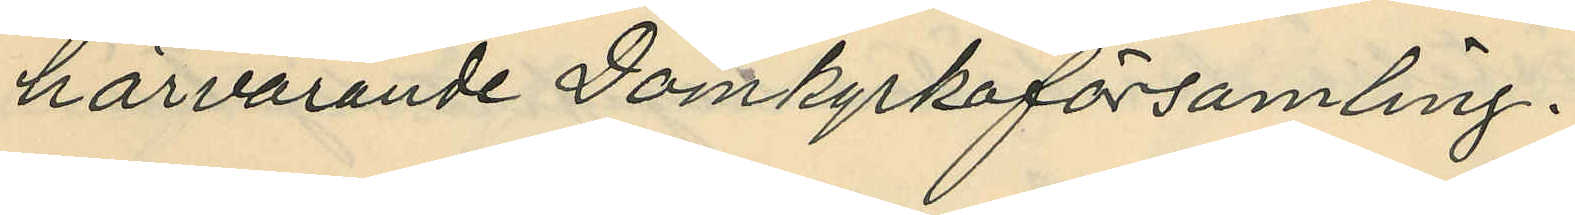härvarande Domkyrkoförsamling.
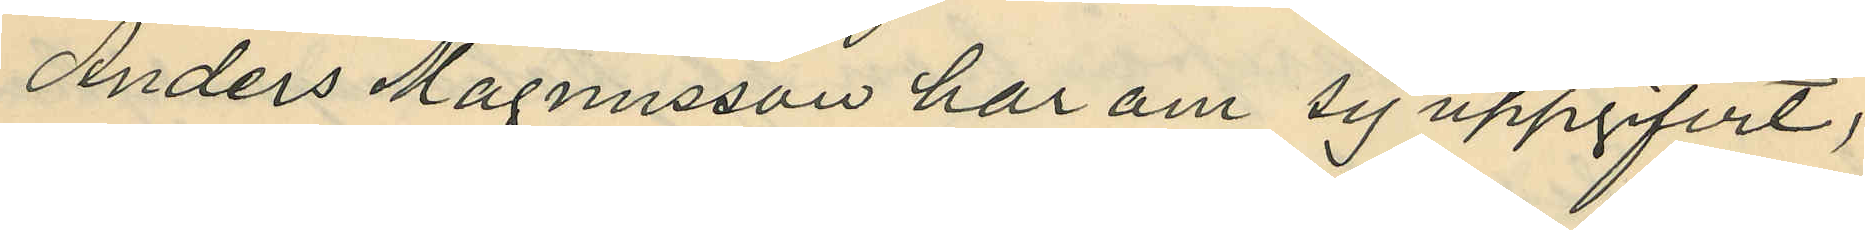Anders Magnusson har om sig uppgifvit,
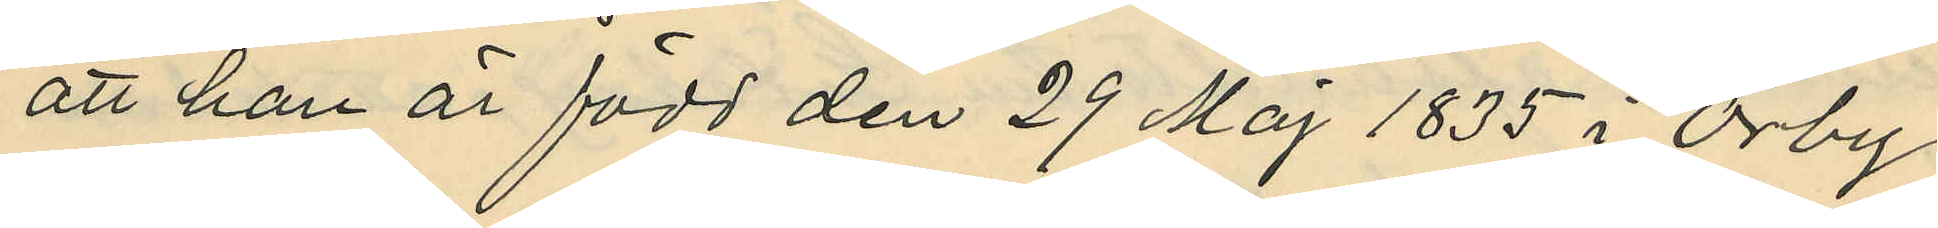att han är född den 29 Maj 1835 i Örby
